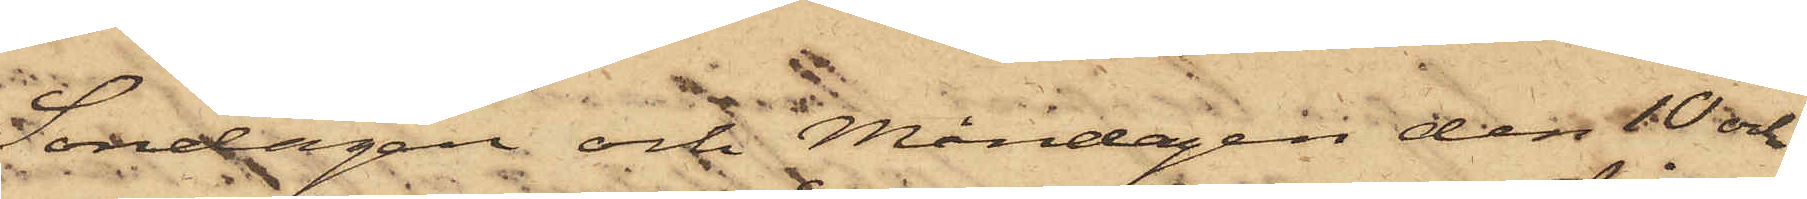Söndagen och Måndagen den 10 och
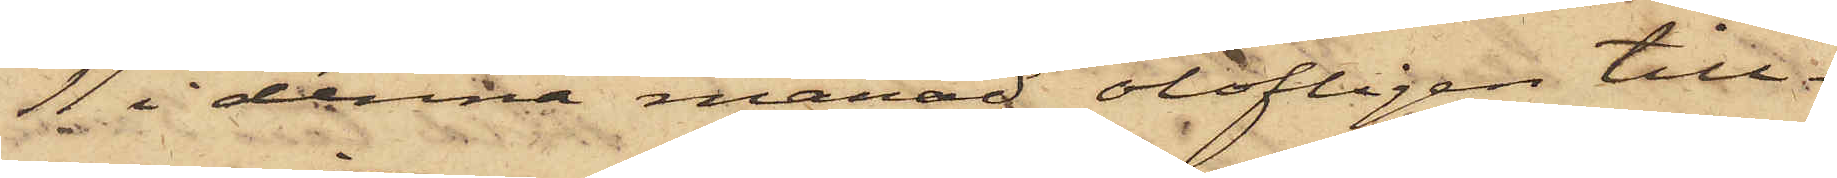11 i denna månad olofligen till¬
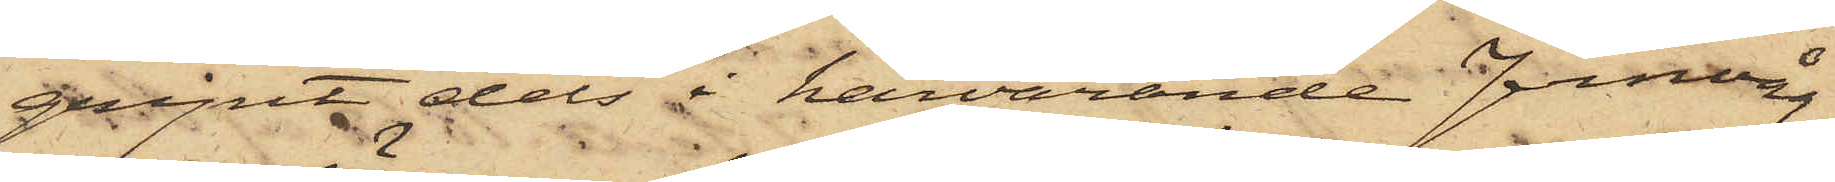gripit dels i härvarande Jernvåg
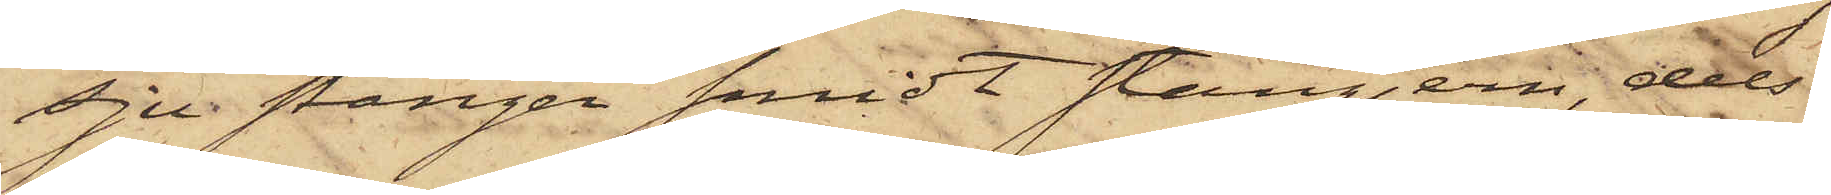sju stänger smidt stångjärn, dels
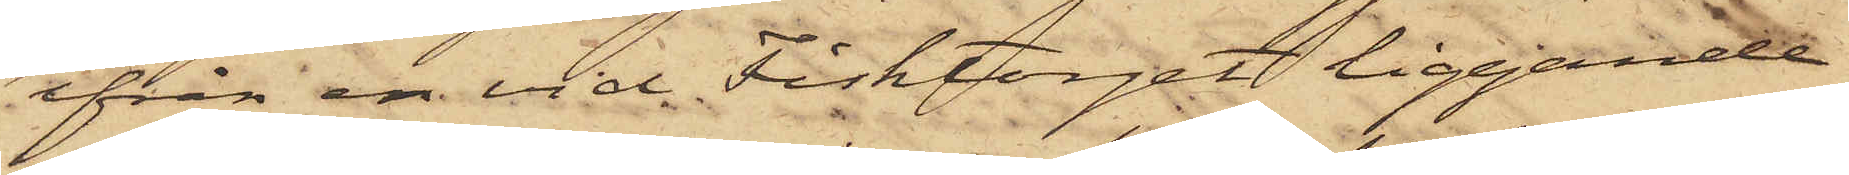ifrån en vid Fisktorget liggande
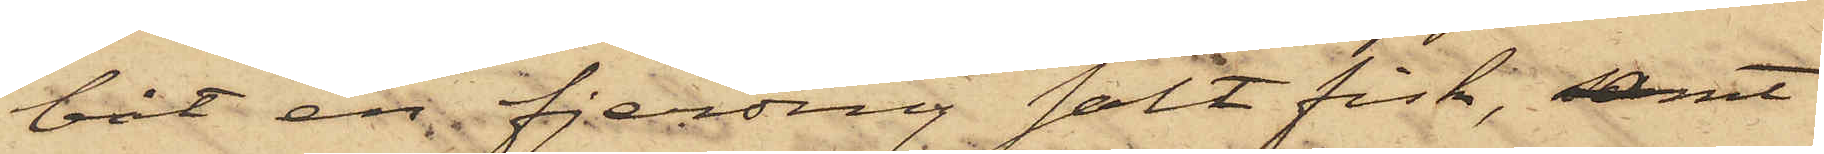båt en fjerding salt fisk, samt
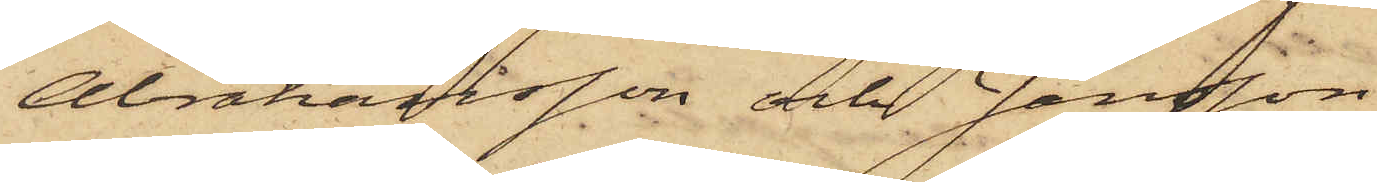Abrahamsson och Jansson
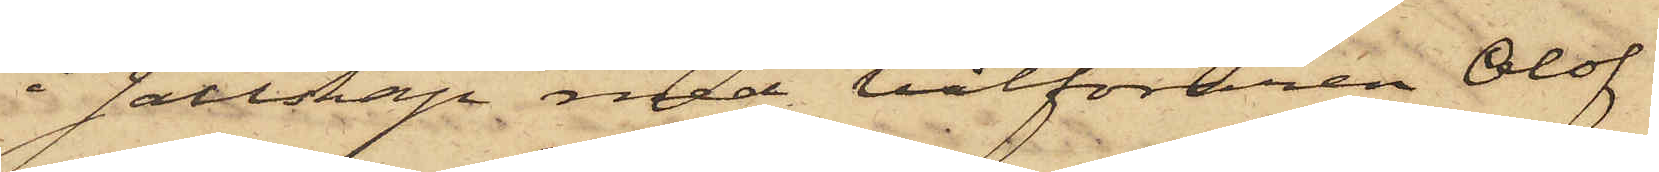i sällskap med båtföraren Olof
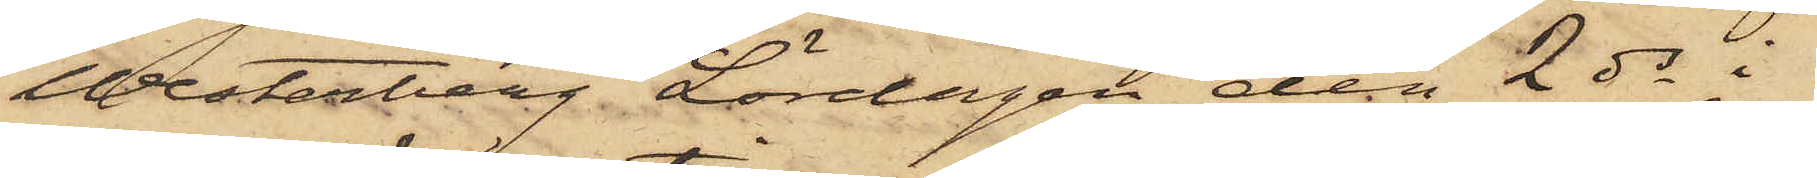Westerberg Lördagen den 2 ds i
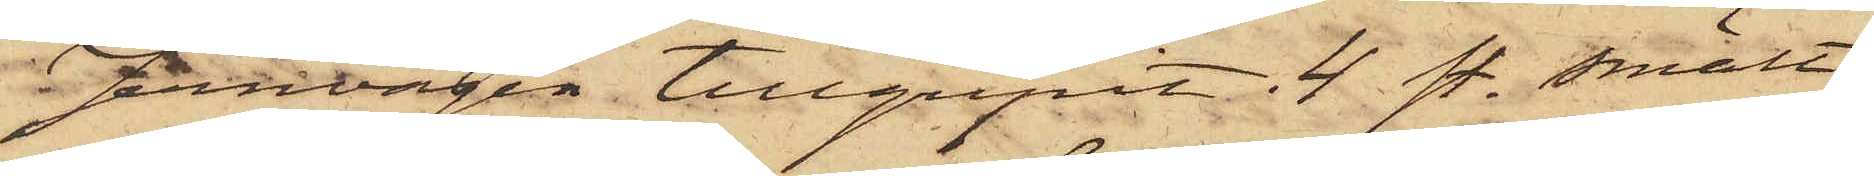Jernvägen tillgripit 4 st. smält¬
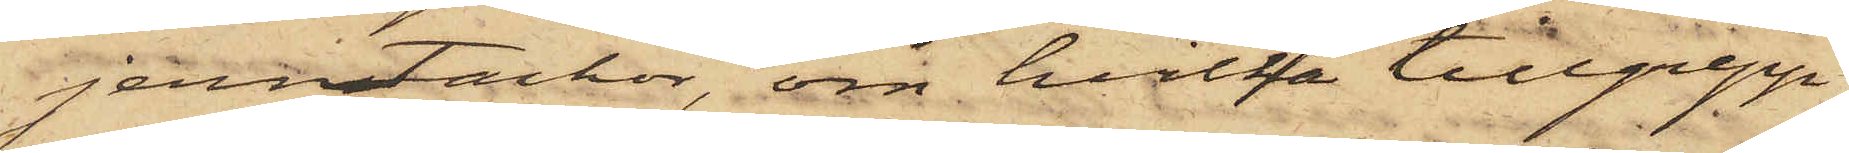jernstackor, om hvilka tillgrepp
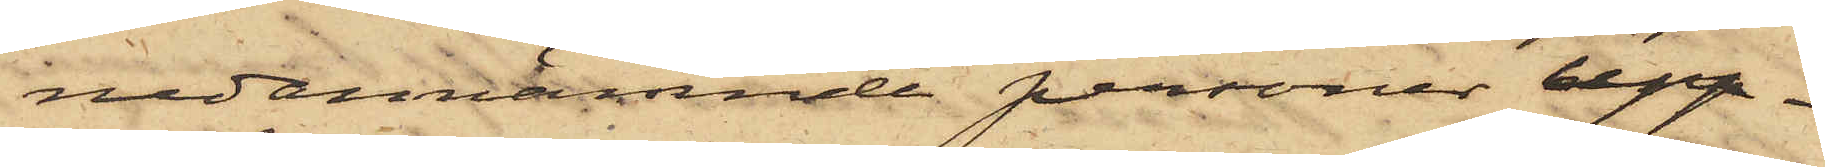nedannämnde personer upp¬
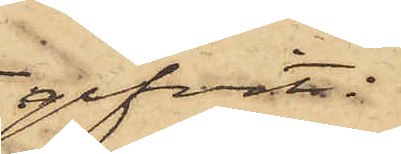gifvit:
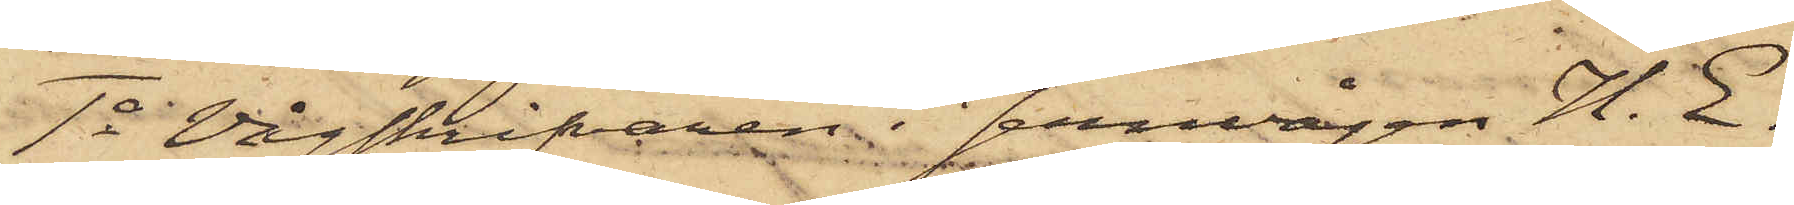1o Vågskrifvaren i Jernvågen H. E.
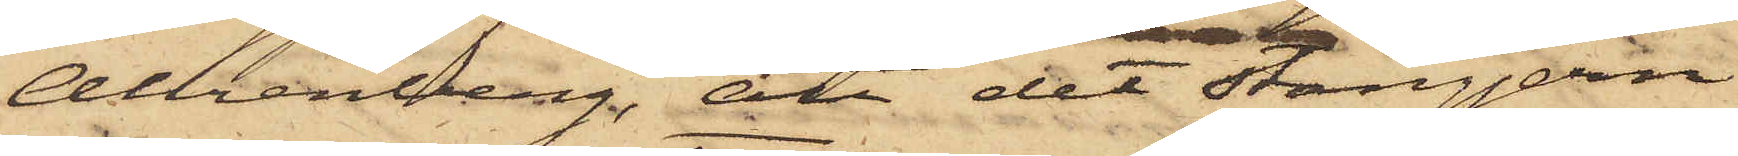Ahrenberg, att det stångjern
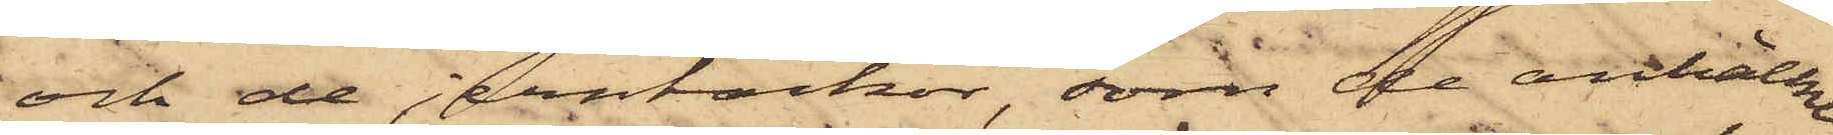och de  jerntackor, som de anhållne
